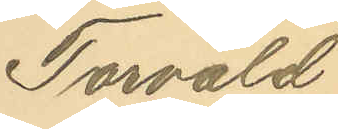Torvald
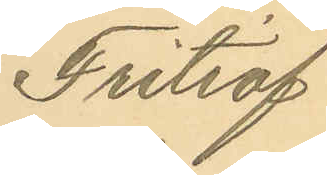Fritiof
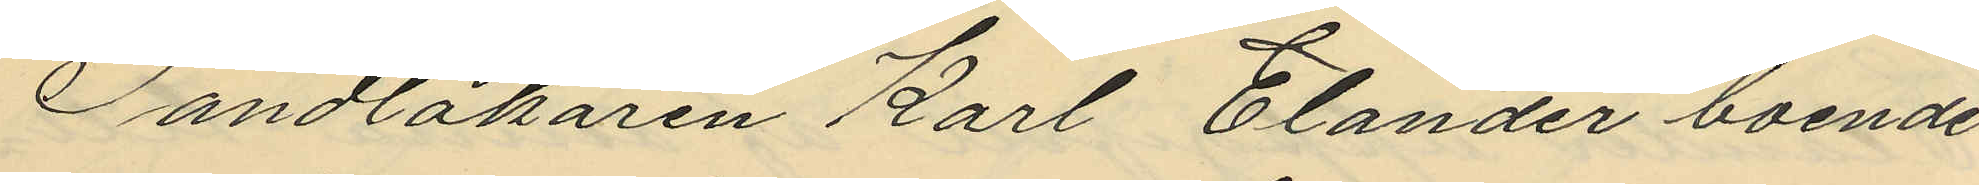Tandläkaren Karl Elander boende
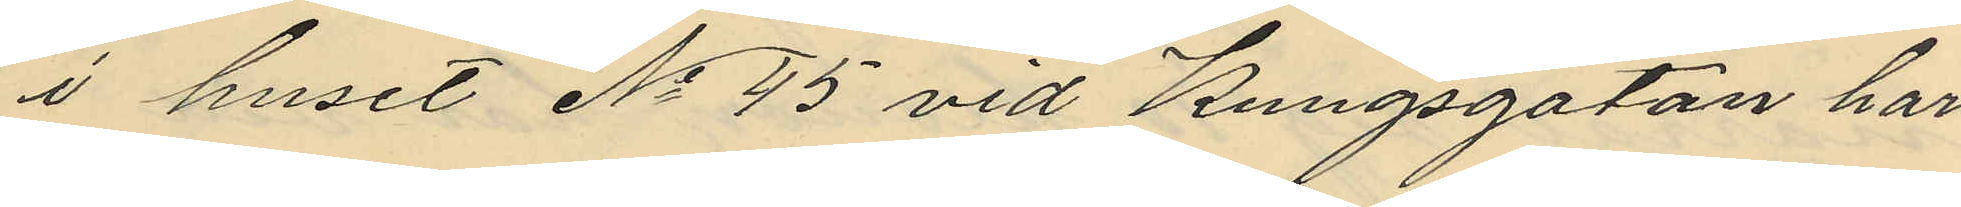i huset No 95 vid Kungsgatan har
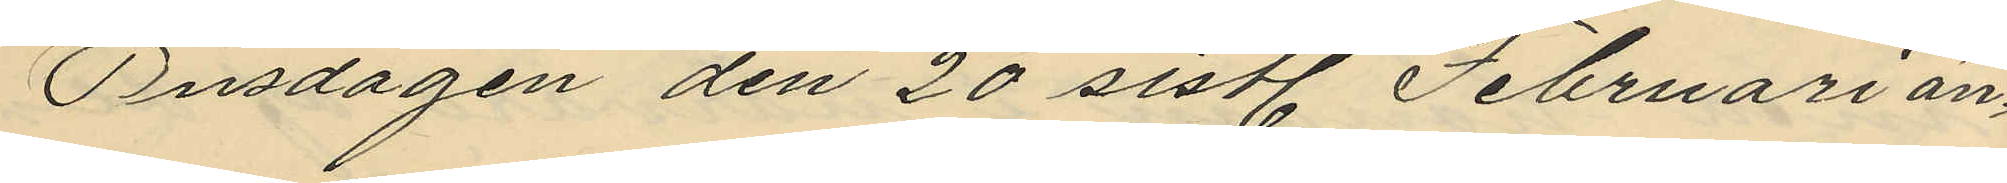Onsdagen den 20 sistl. Februari an¬
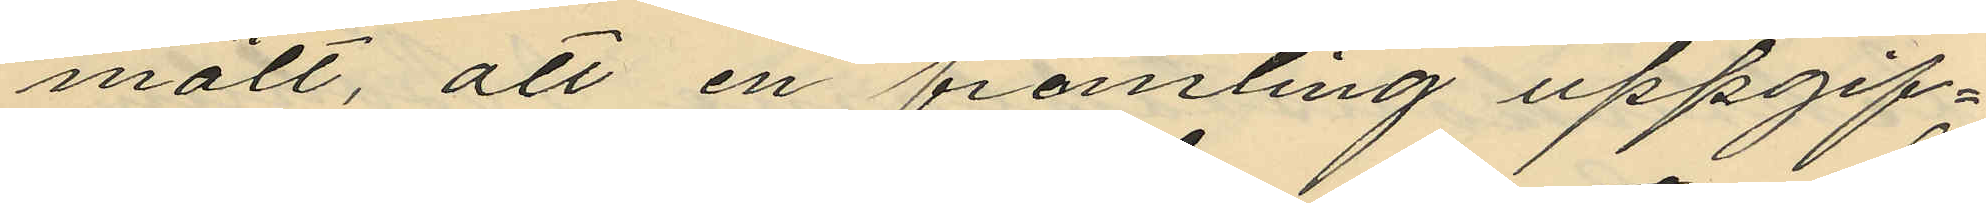mält, att en främling uppgif¬
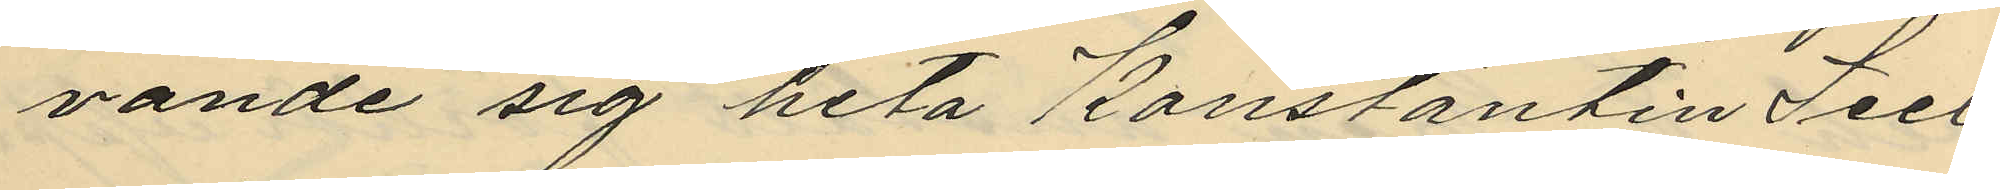vande sig heta Konstantin Seel
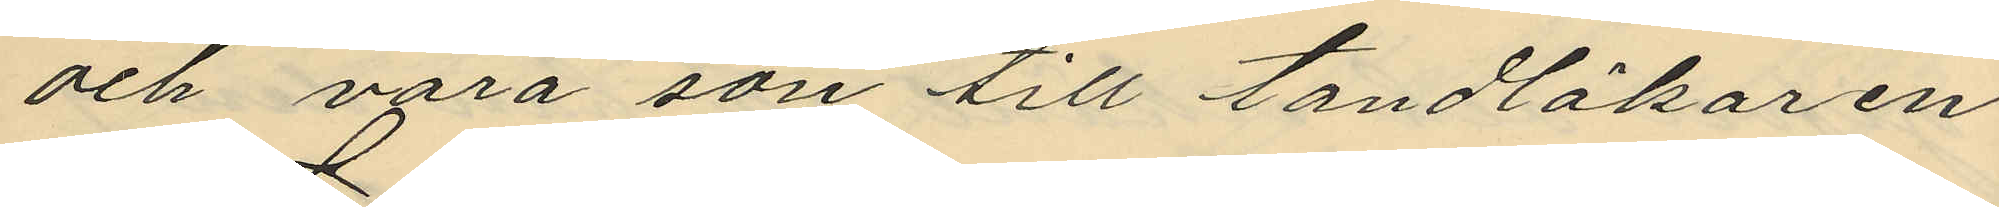och vara son till tandläkaren
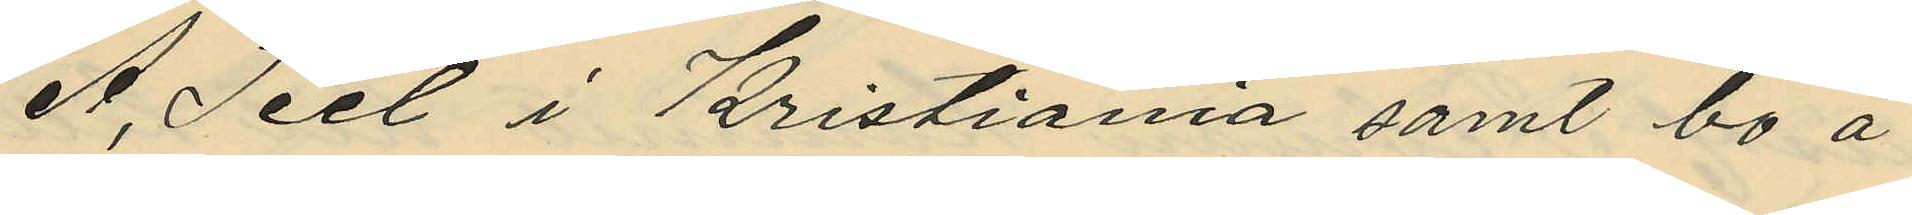A. Seel i Kristiania samt bo å
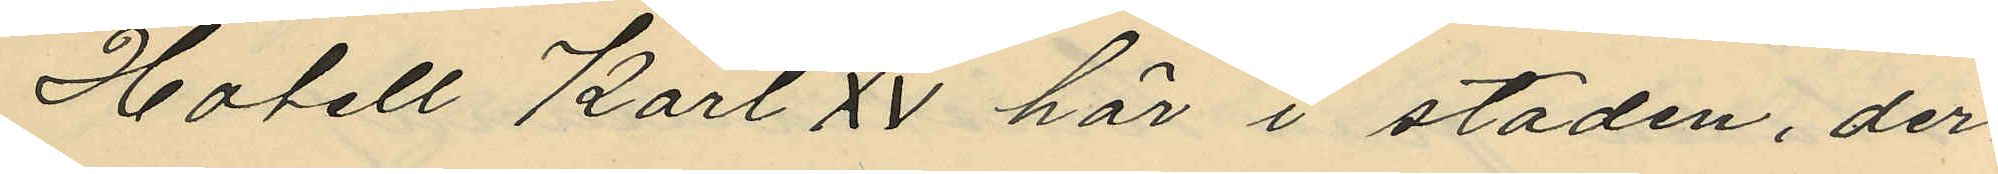Hotell Karl XV här i staden, der¬
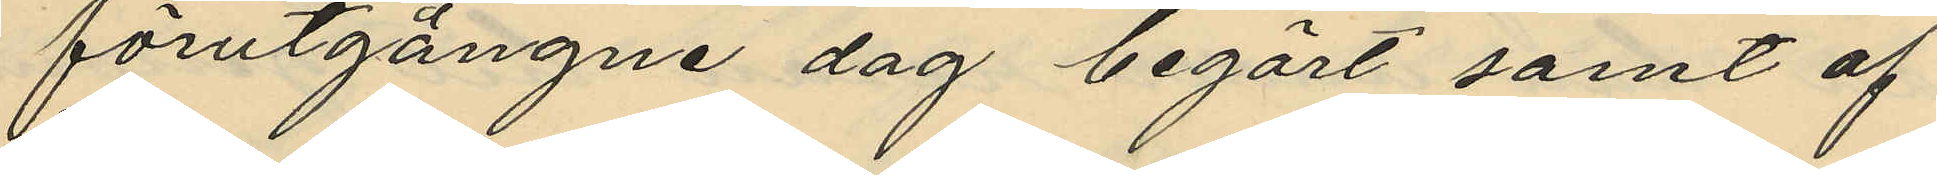förutgångne dag begärt samt af
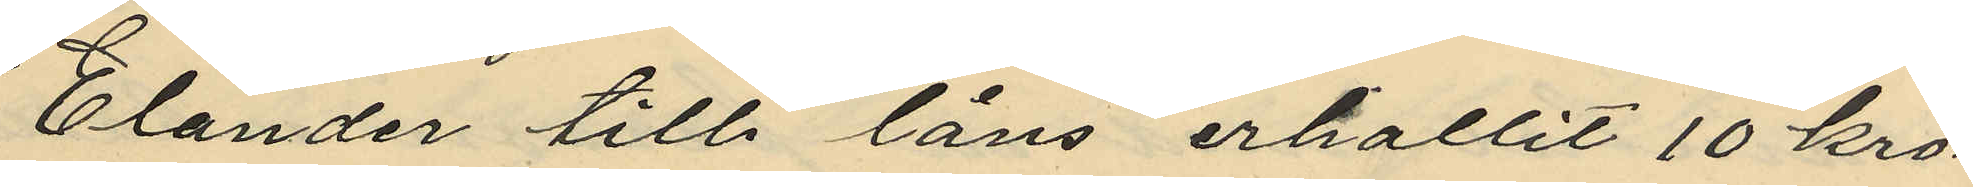Elander till låns erhållit 10 kro¬
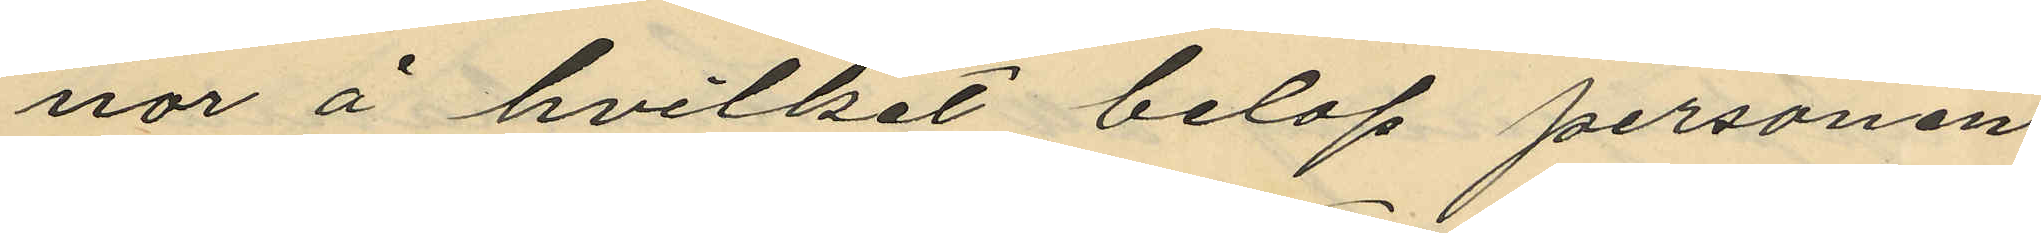nor å hvilket belop personen
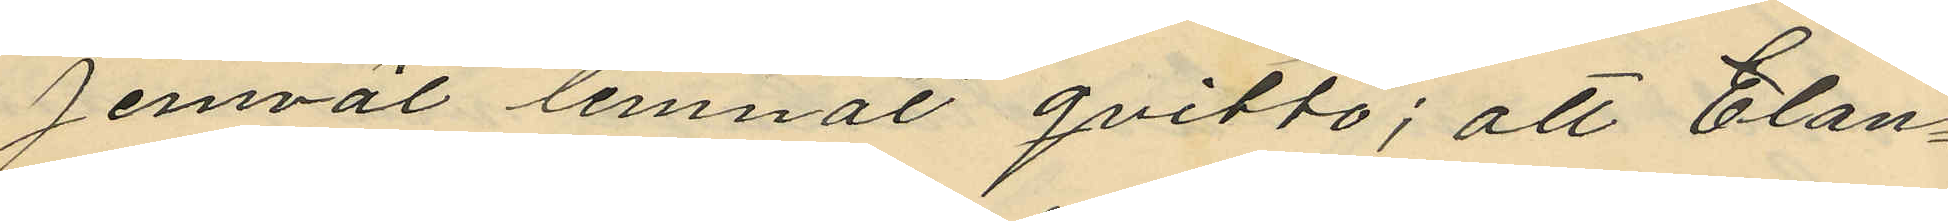jemväl lemnat qvitto; att Elan¬
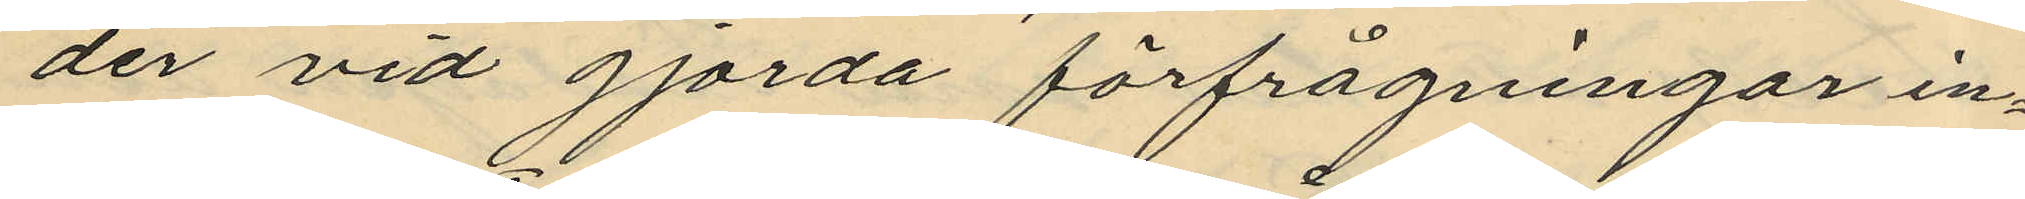der vid gjorda förfrågningar in¬
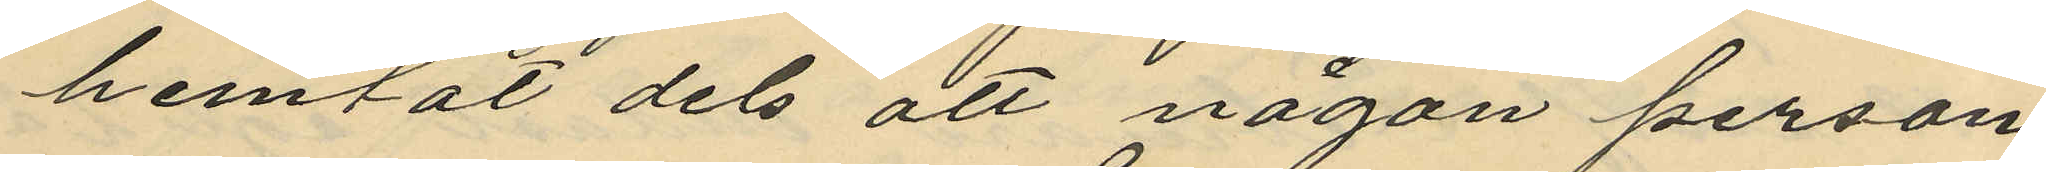hemtat dels att någon person
